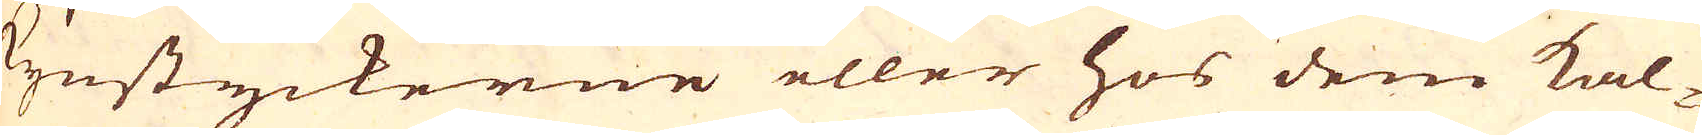Kynstyckerne eller hos dem kal-
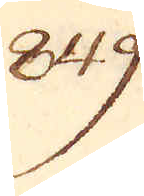849.
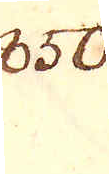850.
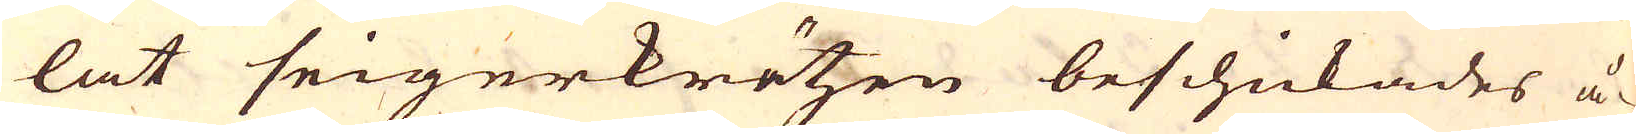lat seigerkrätzen beschickades å-
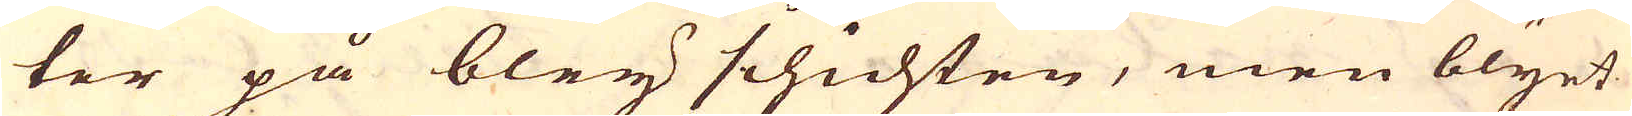ter på bley schichten, men blyet
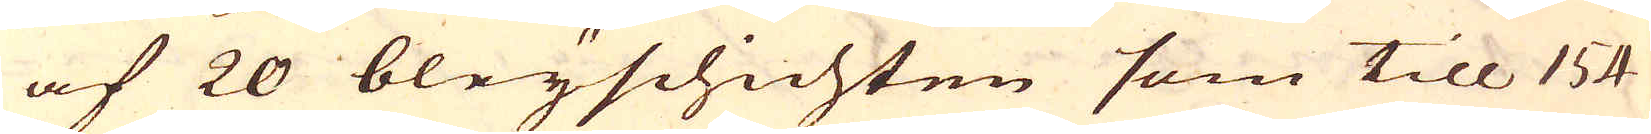af 20 bleyschichten som till 154
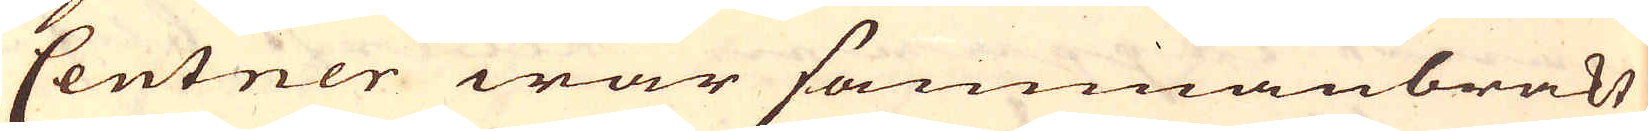Centner war sammanbrakt
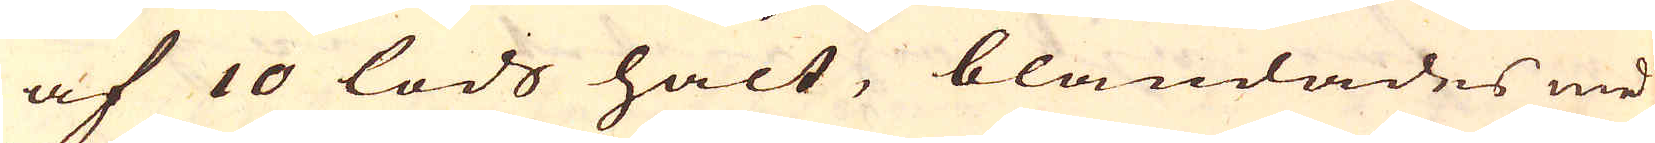af 10 lods halt, blandades med
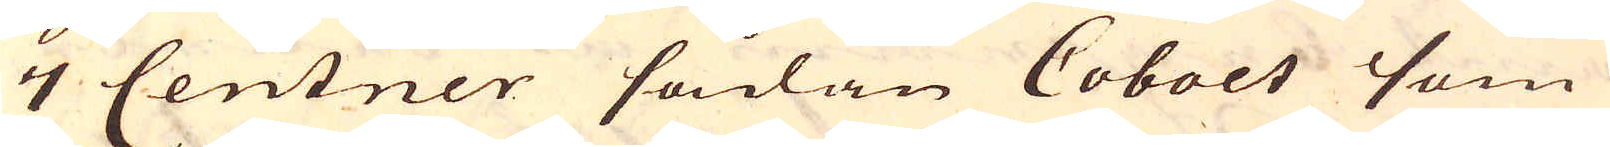7 Centner sådan Cobolt som
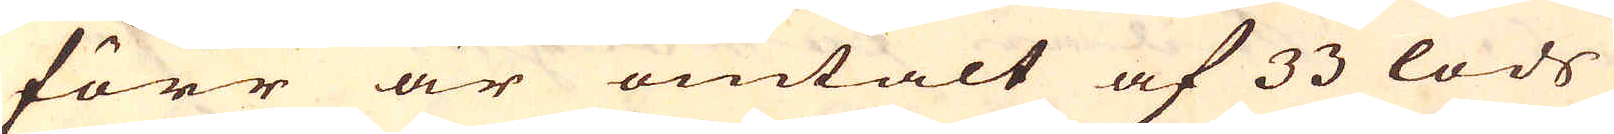förr är omtalt af 33 lods
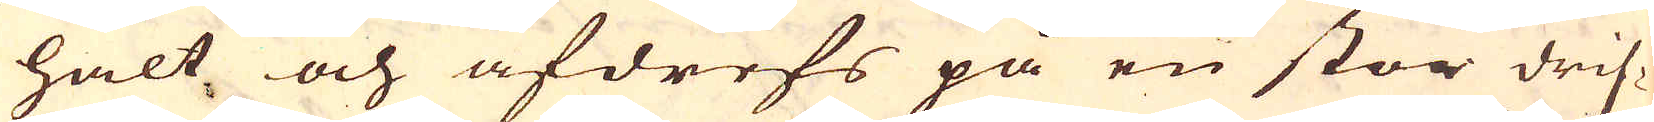halt och afdrefs på en stor drif-
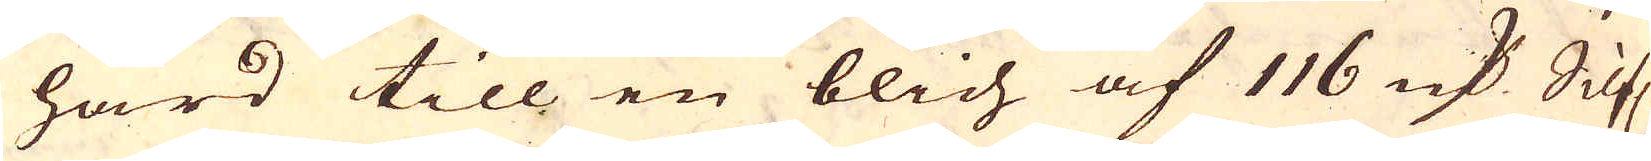härd till en blich af 116 marker Silf.
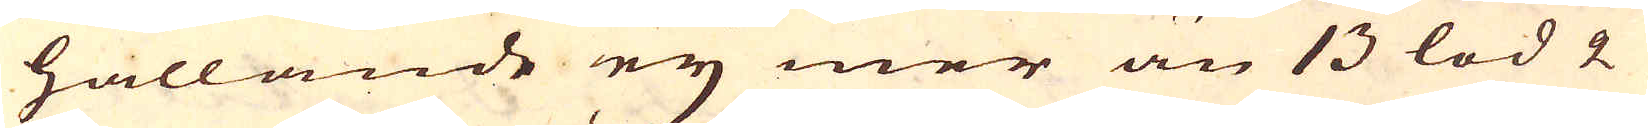hållande ey mer än 13 lod 2
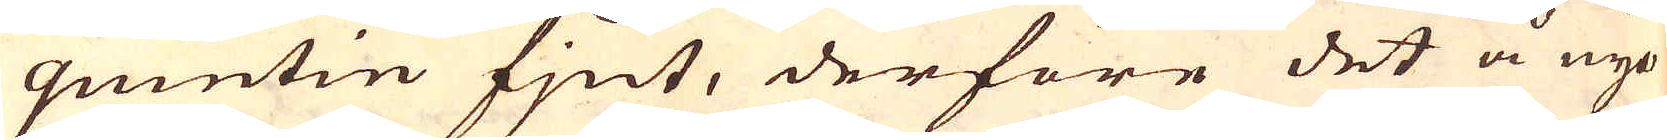quintin fjnt, derföre det å nyo
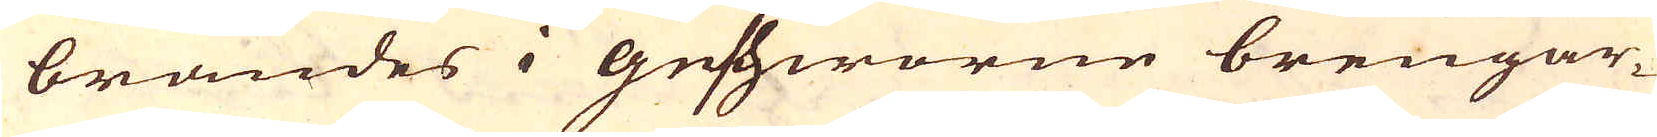brändes i Geshworne brengar-
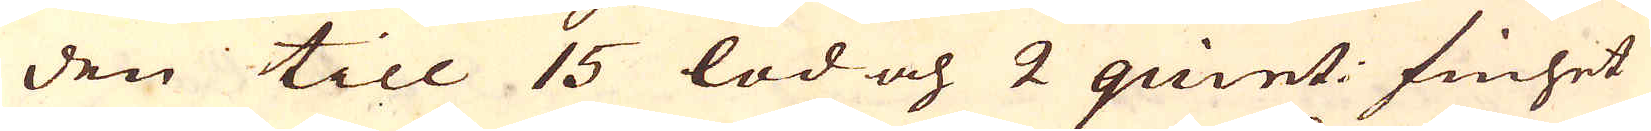den till 15 lod och 2 quint: finhet
